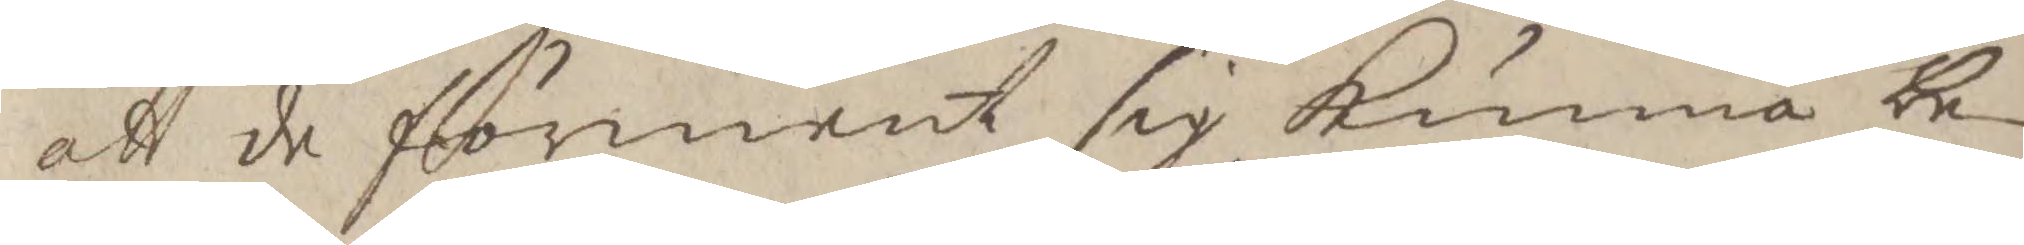att de förmente sig Kunna be¬
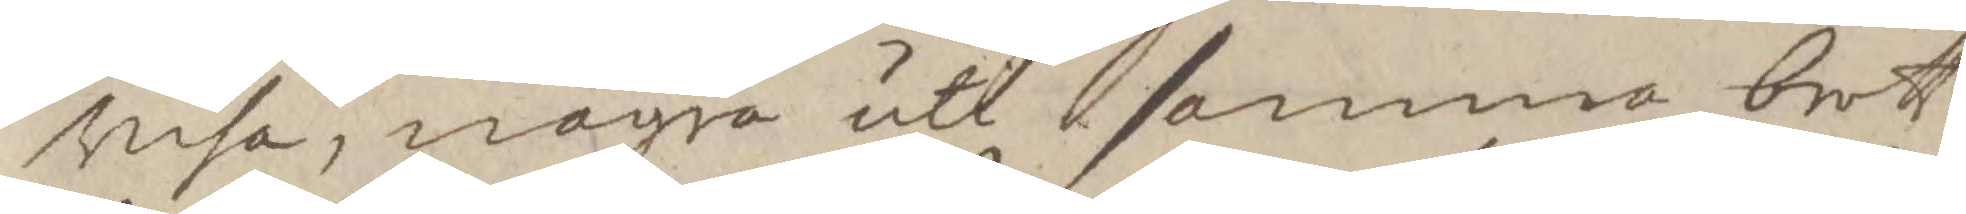visa, någon uti samma brott
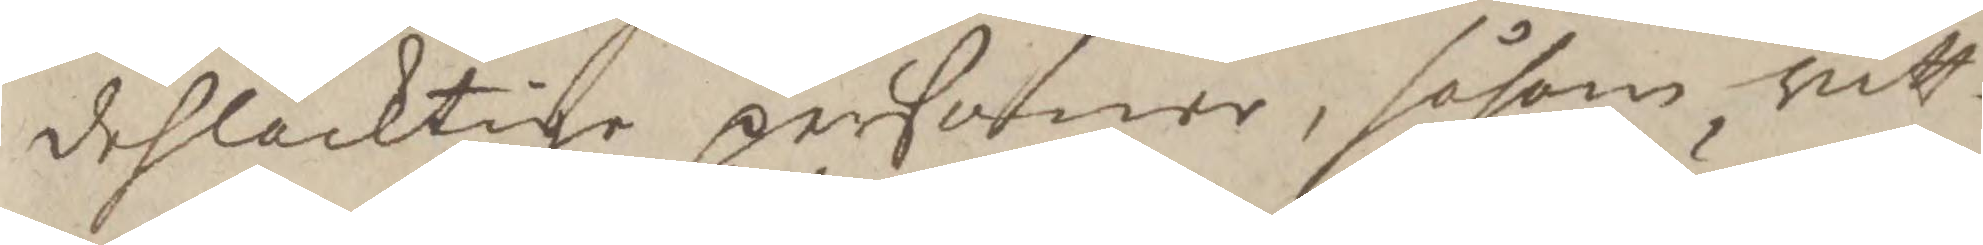dehlachtige personer, såsom vitt¬
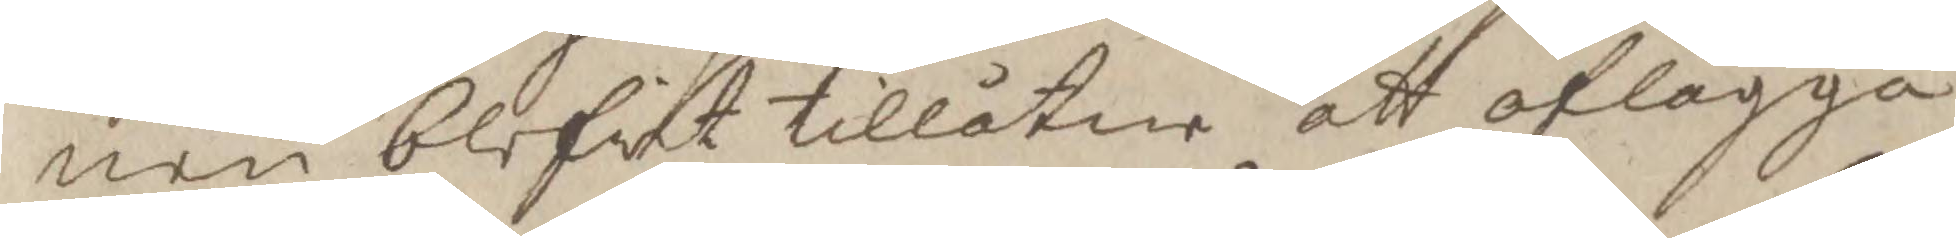nen blefvit tillåtne att aflägga
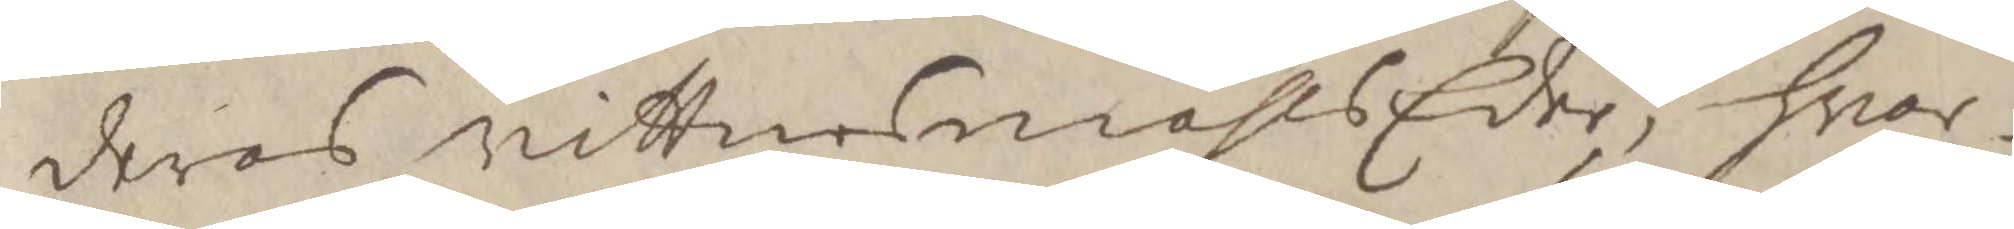deras vittnesmåhls Eder, hwar¬
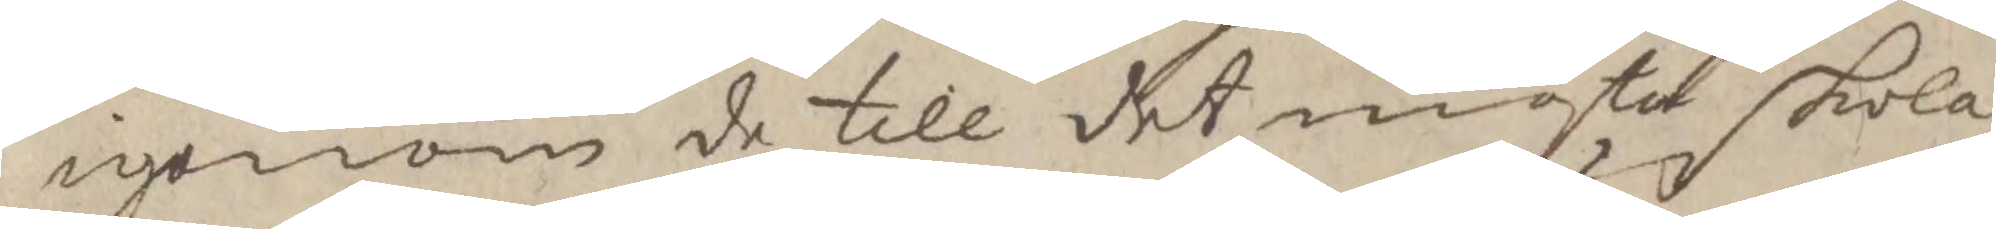igenom de till det mästa skola
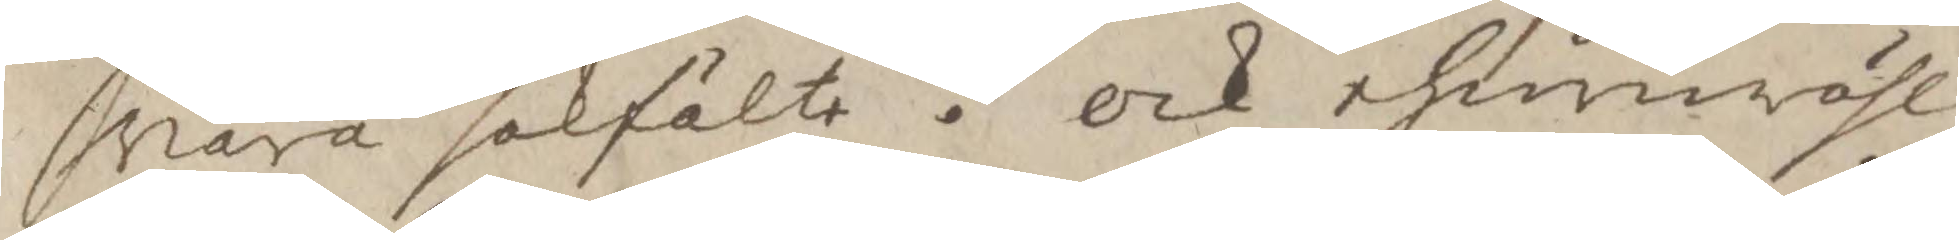vara sakfälte. ock ehuruwähl
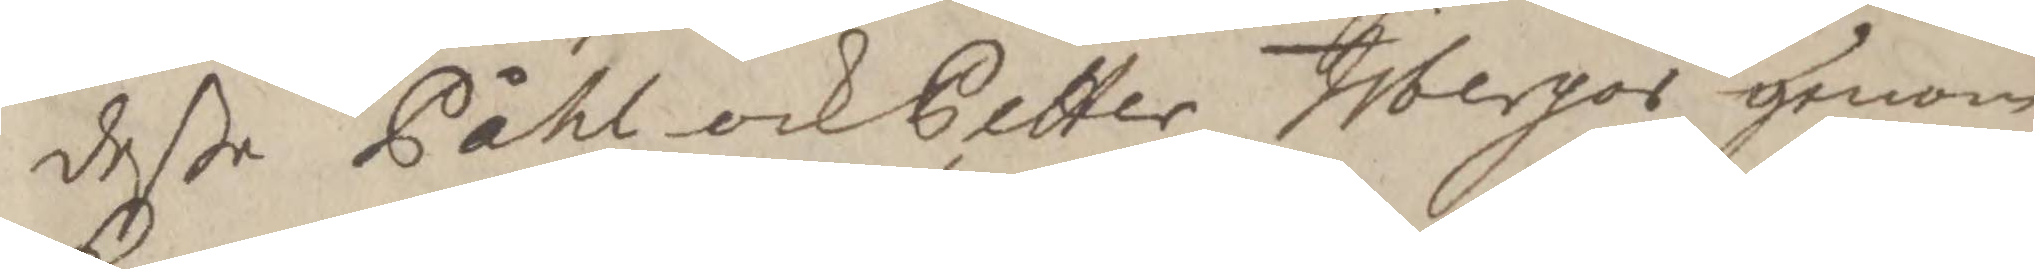deße Påhl och Petter Tibergos genom
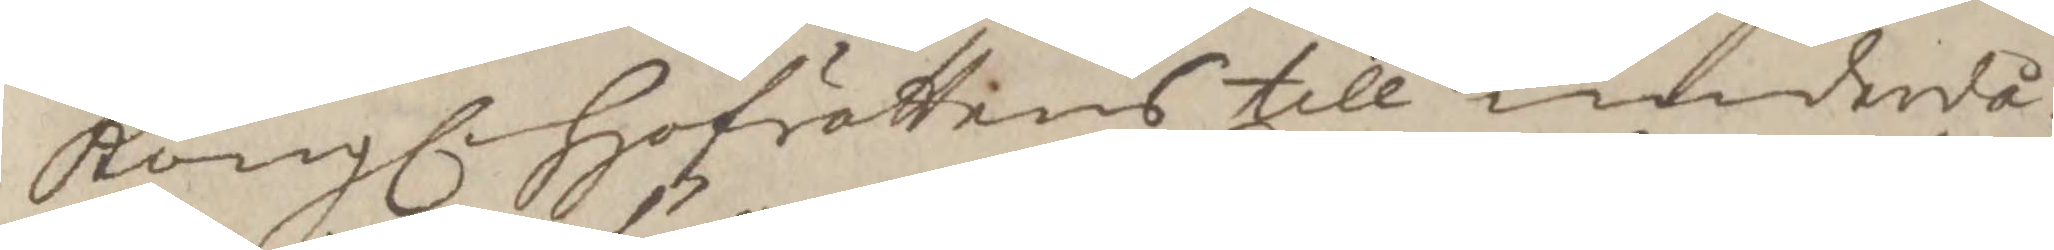Kongl hofrättens till underdå¬
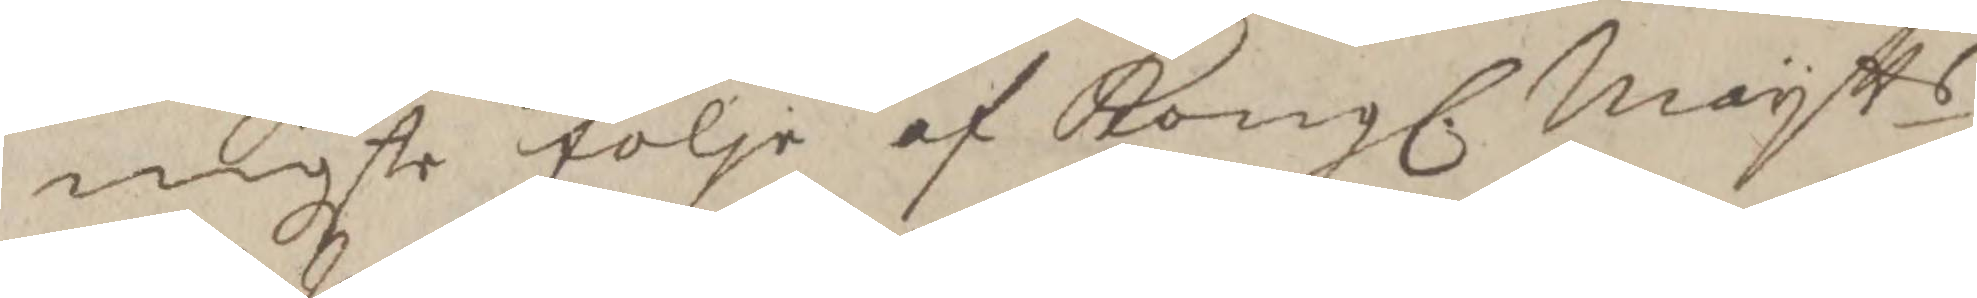nigste följe af Kongl. Maytts
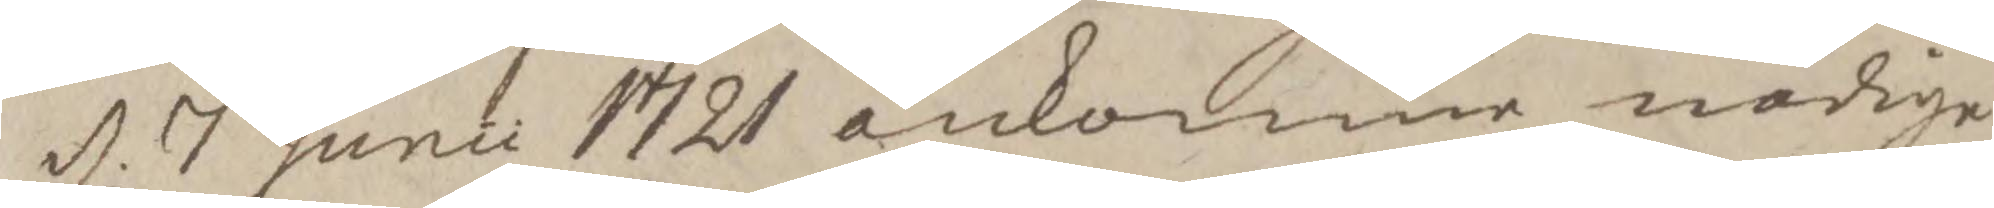d. 7 Junii 1721 ankomne nådige
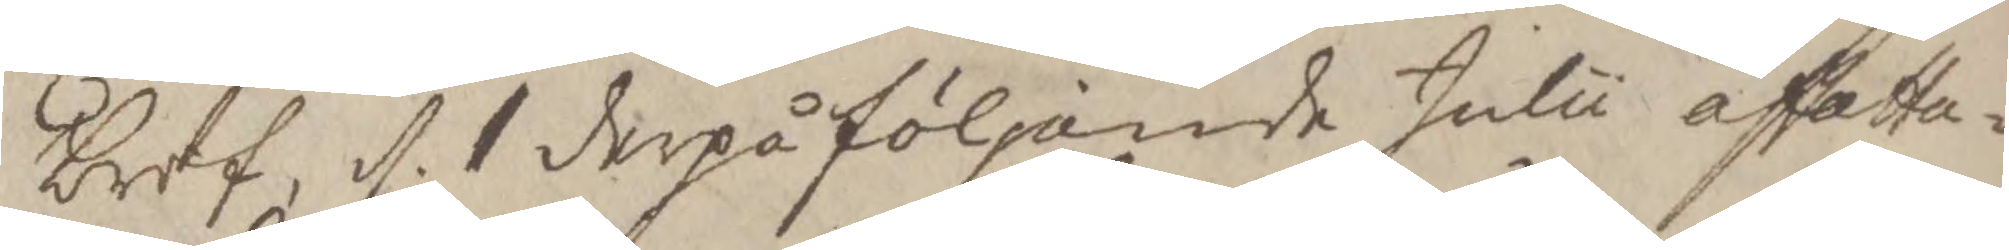bref, d. 1 derpå följande Julii affatta¬
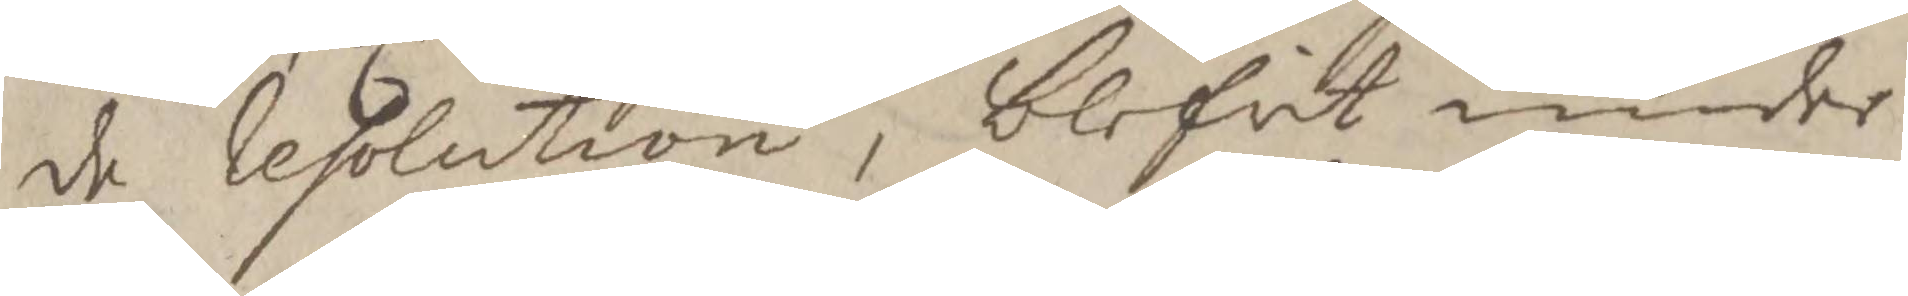de Resolutionm blifvit under
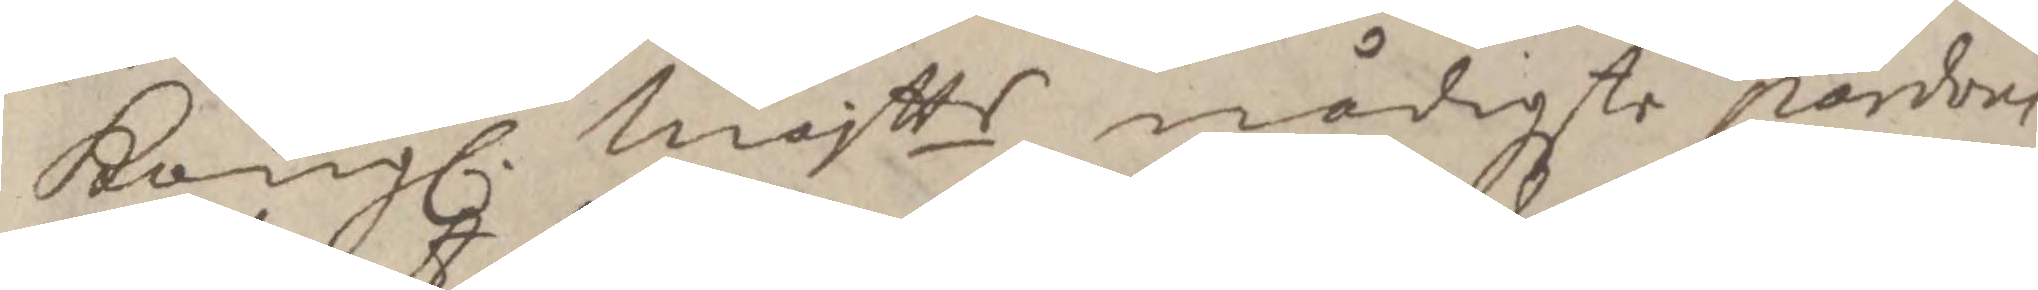Kongl. Majtts nådigste pardon
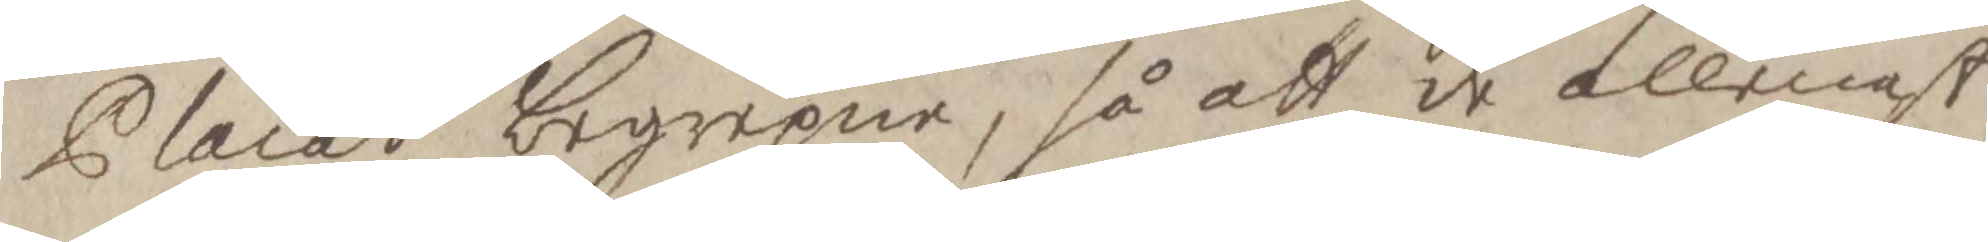Placat begrepne, så att de allenast
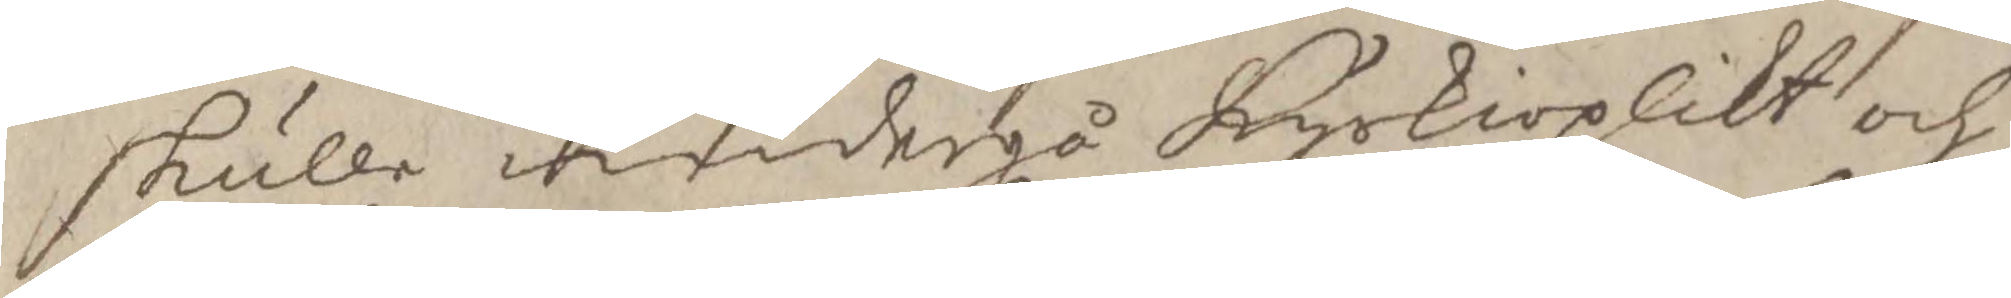skulle undergå kyrkioplikt och
